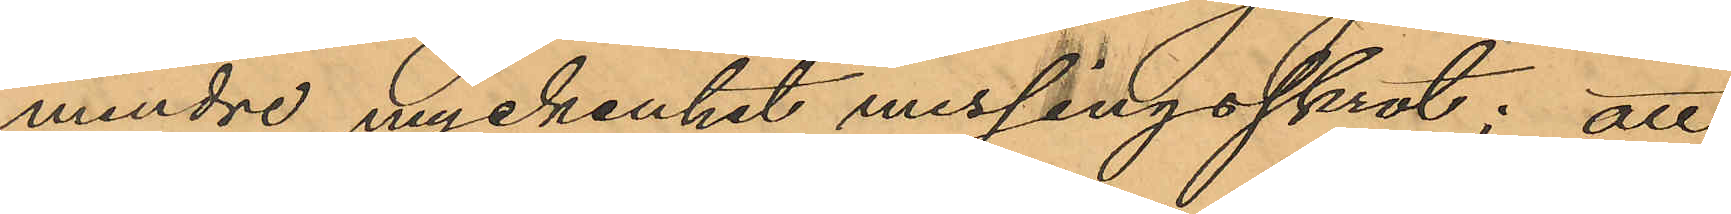mindre myckenhet messingsskrot; att
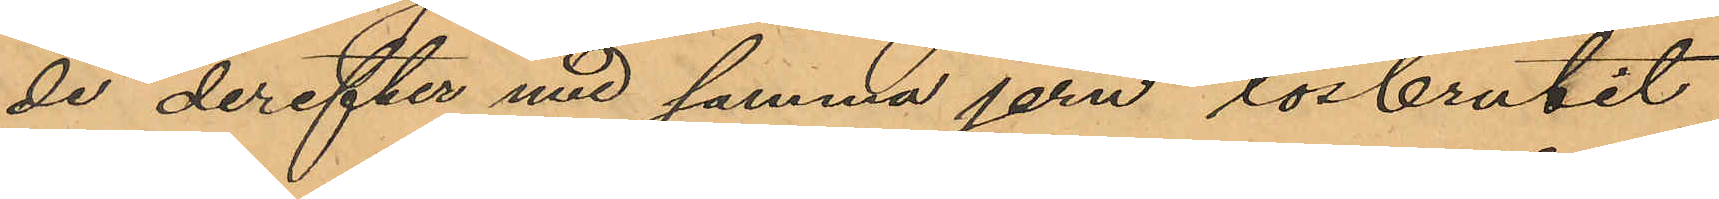de derefter med samma jern lösbrutit
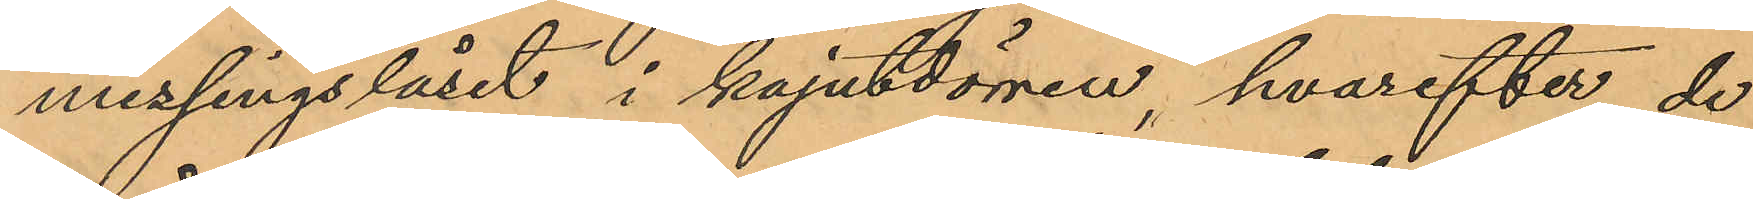messingslåset i kajutdörren, hvarefter de
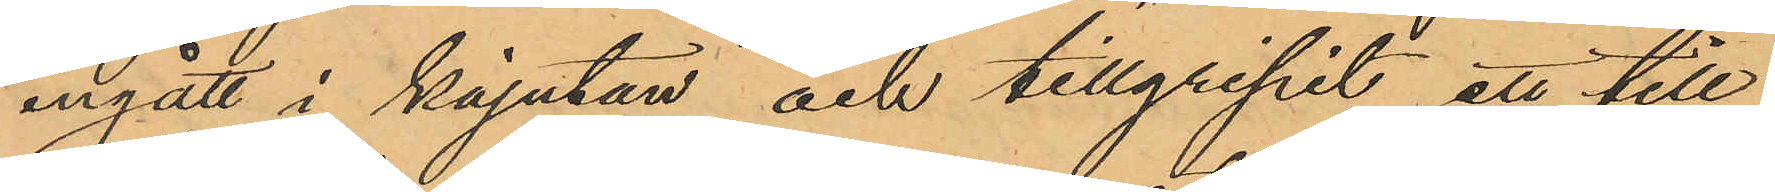ingått i kajutan och tillgripit ett till
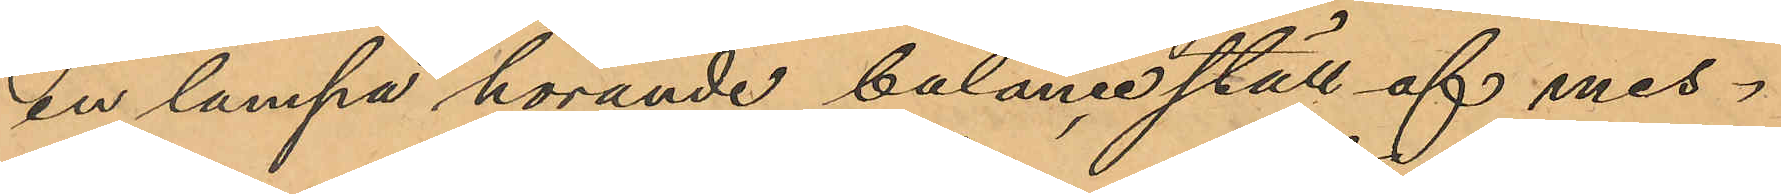en lampa hörande balanceställ af mes¬
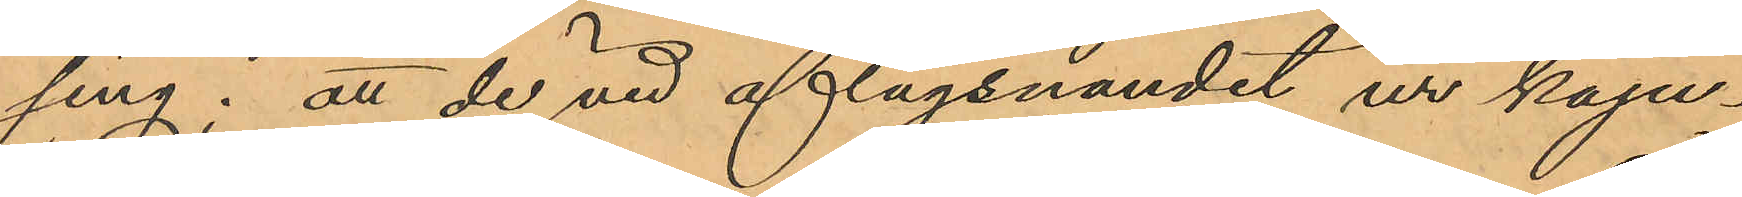sing; att de vid aflägsnandet ur kaju¬
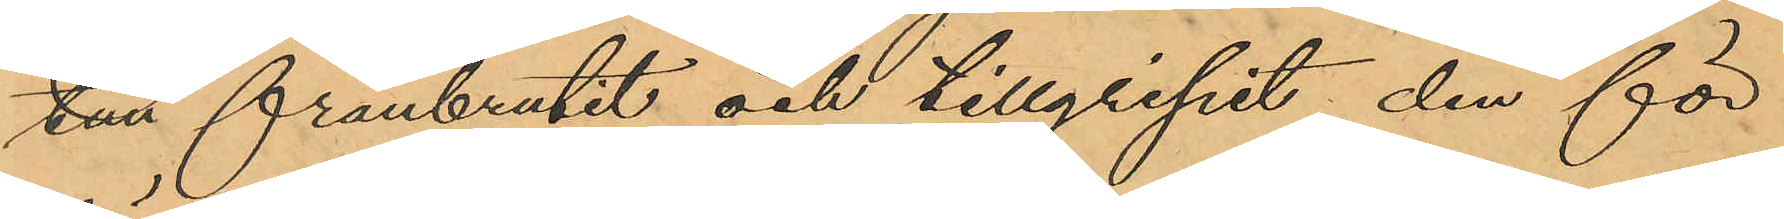tan frånbrutit och tillgripit den för
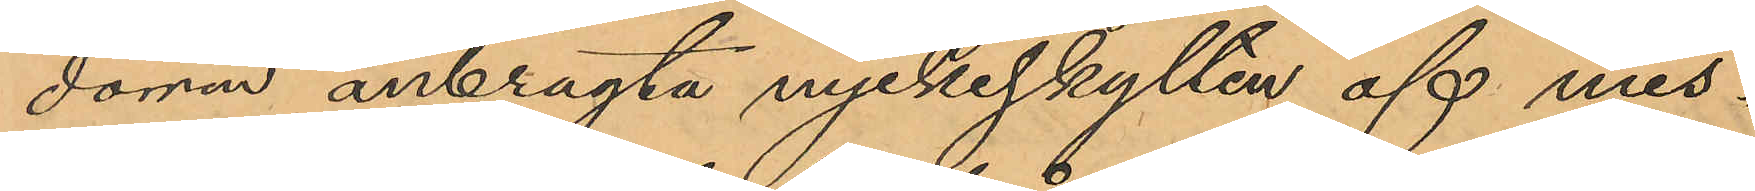dörren anbragta nyckelskylten af mes¬
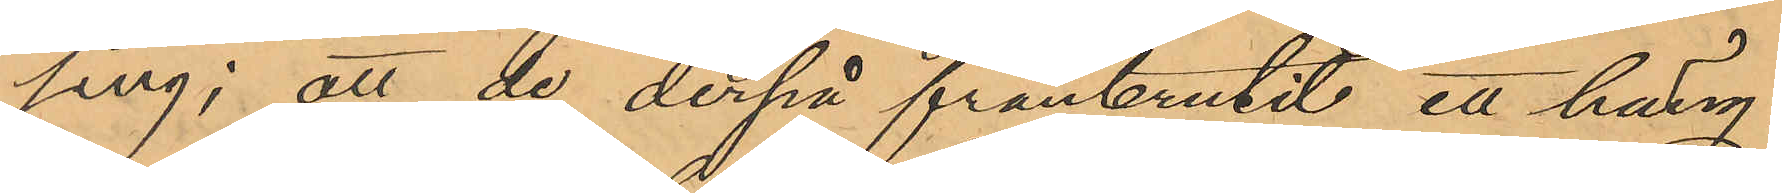sing, att de derpå frånbrutit ett häng¬
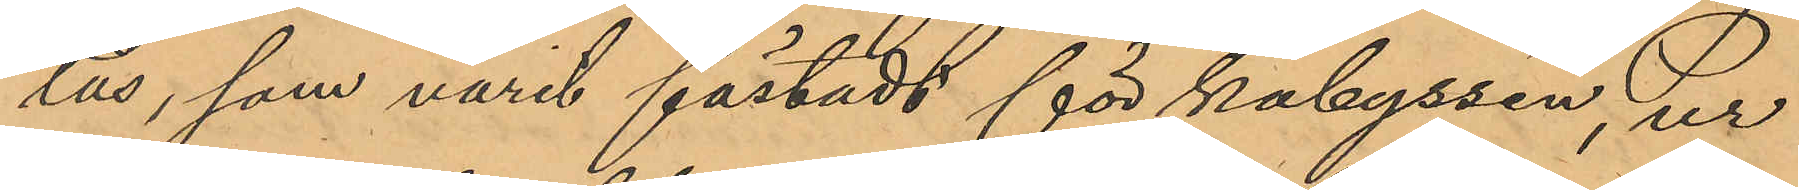lås, som varit fästadt för kabyssen, ur
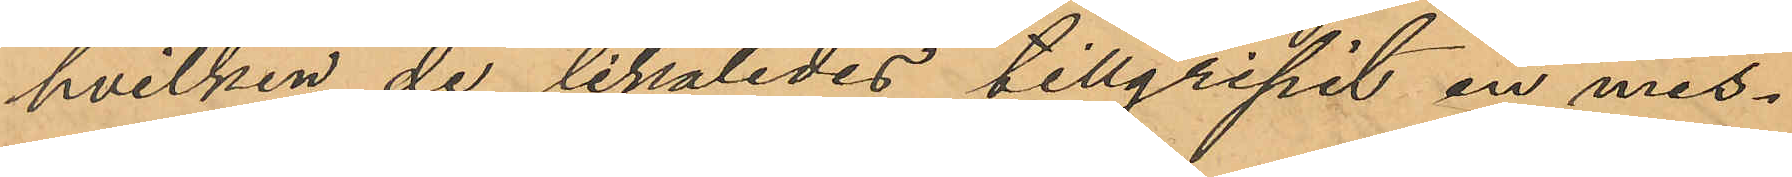hvilken de likaledes tillgripit en mes¬
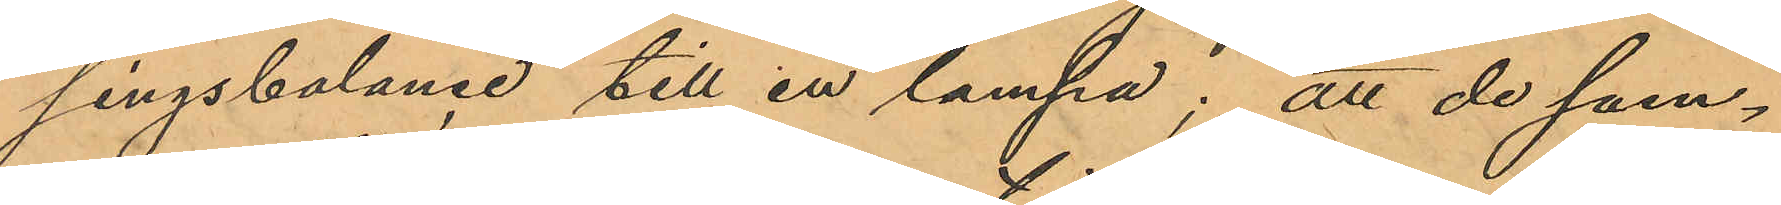singsbalance till en lampa; att de sam¬
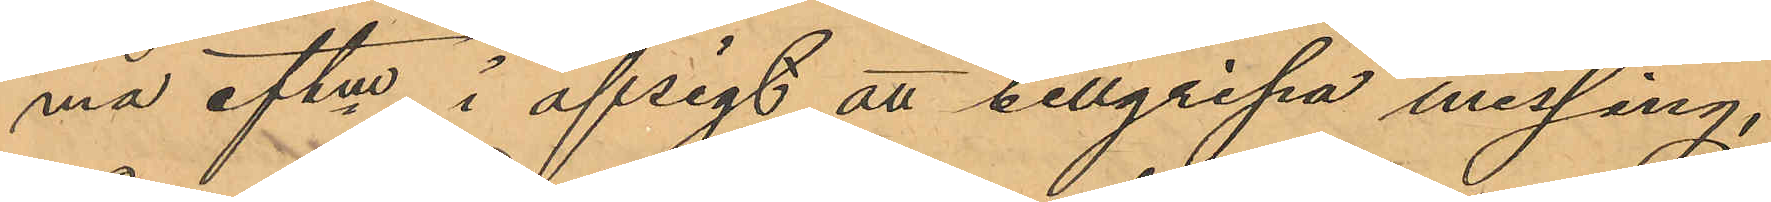ma eftm i afsigt att tillgripa messing,
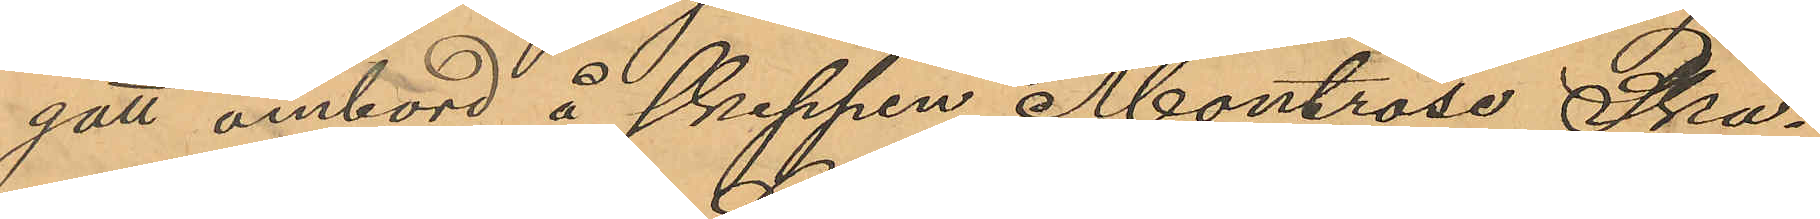gått ombord å skeppen Montrose, Ska¬
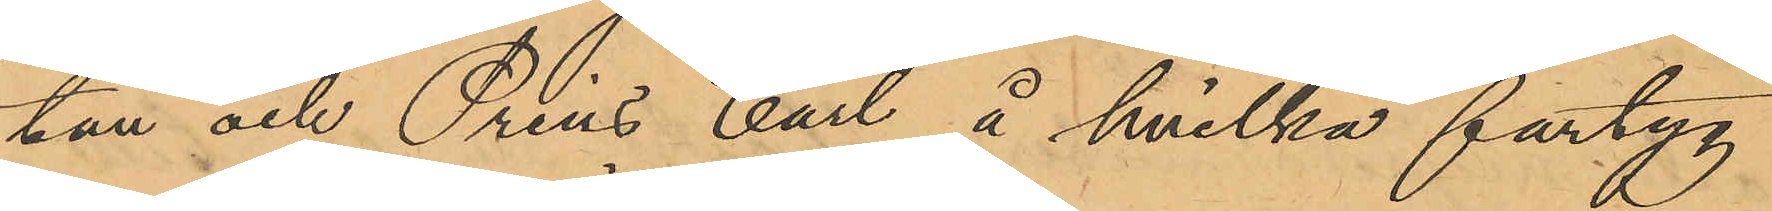tan och Prins Carl, å hvilka fartyg
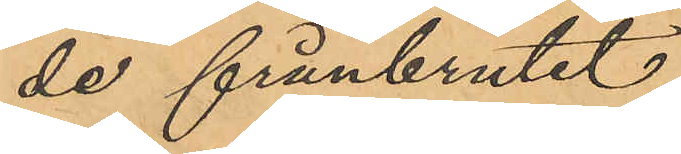de frånbrutit:
